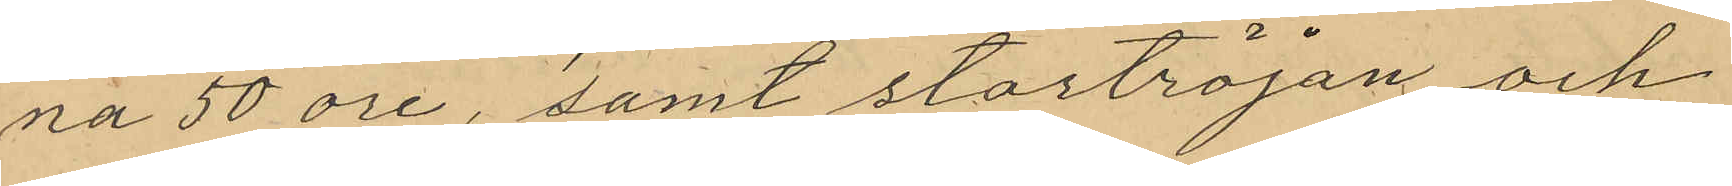na 50 öre, samt stortröjan och
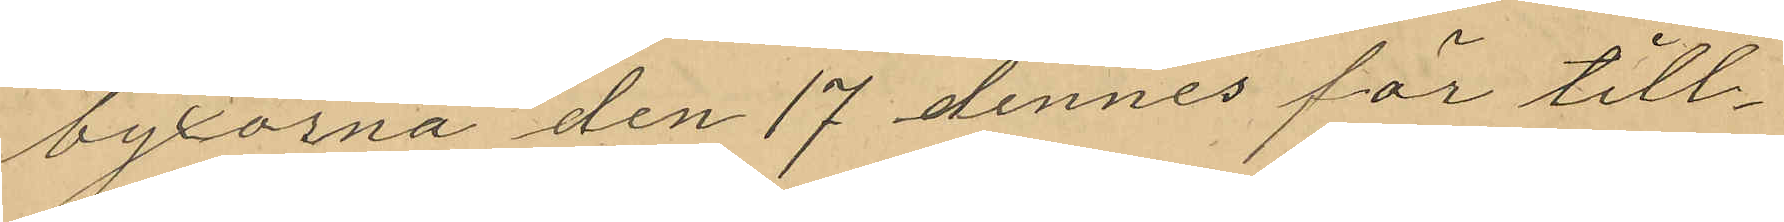byxorna den 17 dennes för till¬
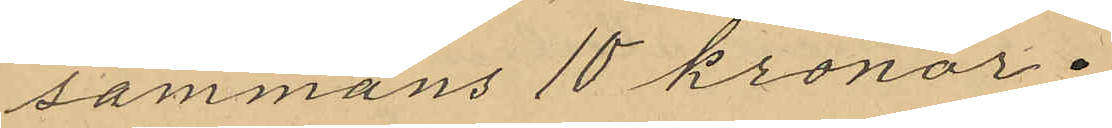sammans 10 kronor.
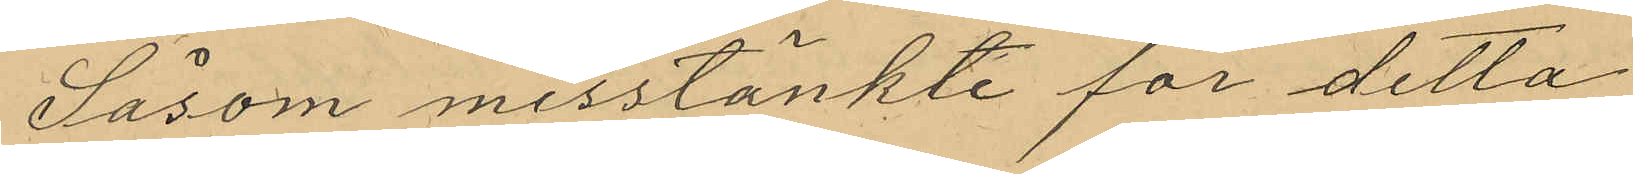Såsom misstänkte för detta
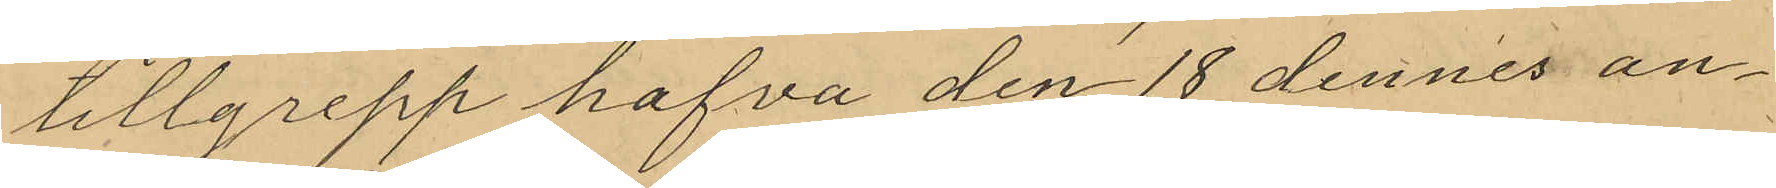tillgrepp hafva den 18 dennes an¬
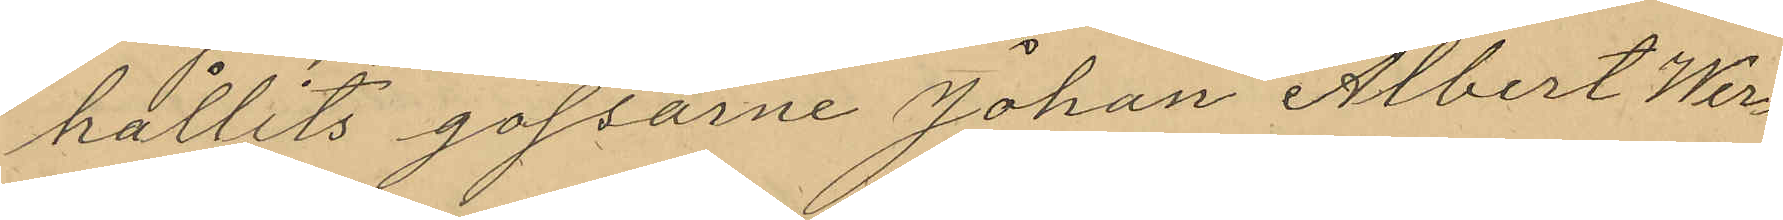hållits gossarne Johan Albert Wer¬
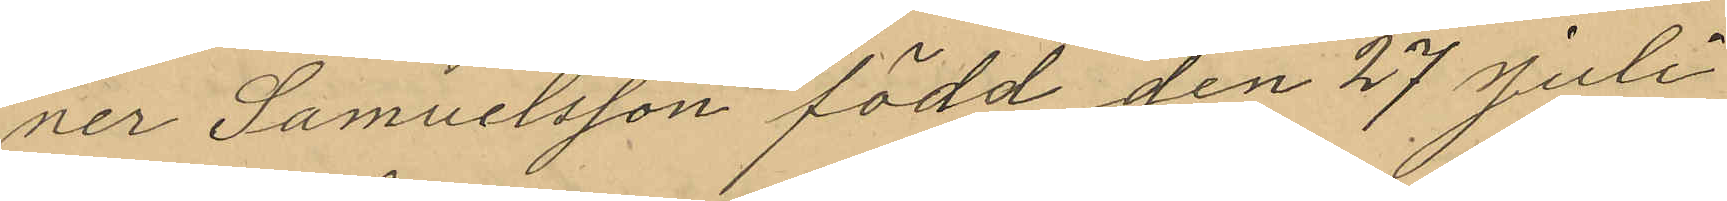ner Samuelsson född den 27 Juli
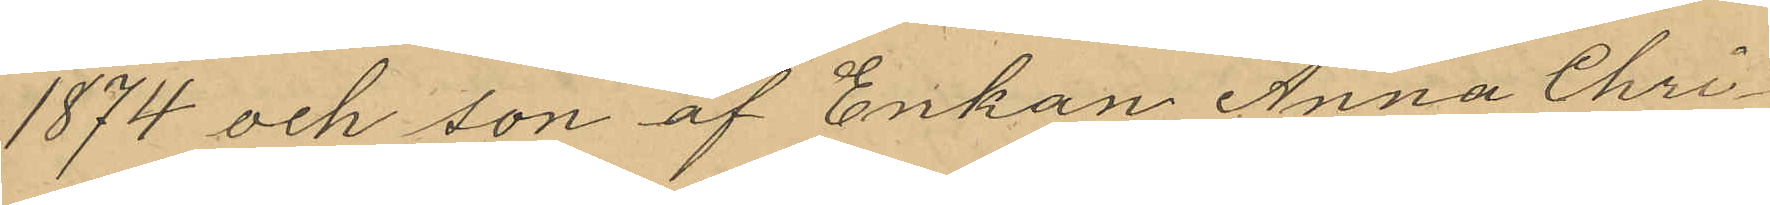1874 och son af Enkan Anna Chri¬
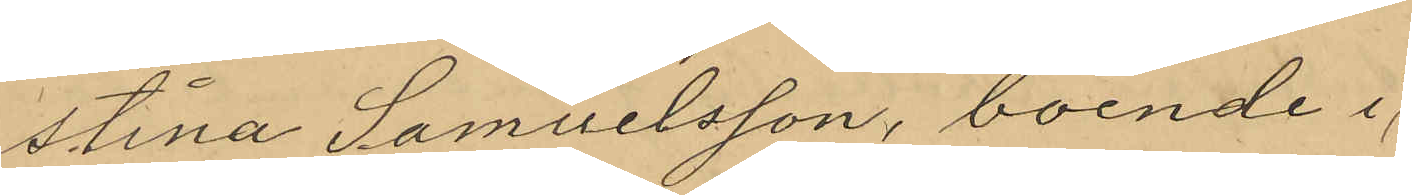stina Samuelsson, boende i
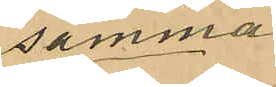samma
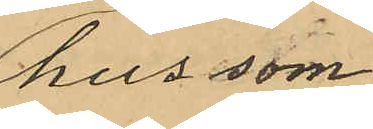hus som
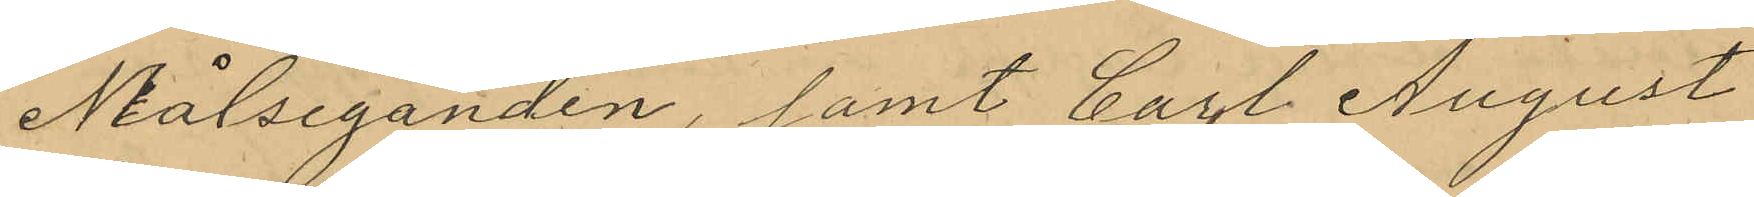Målseganden, samt Carl August
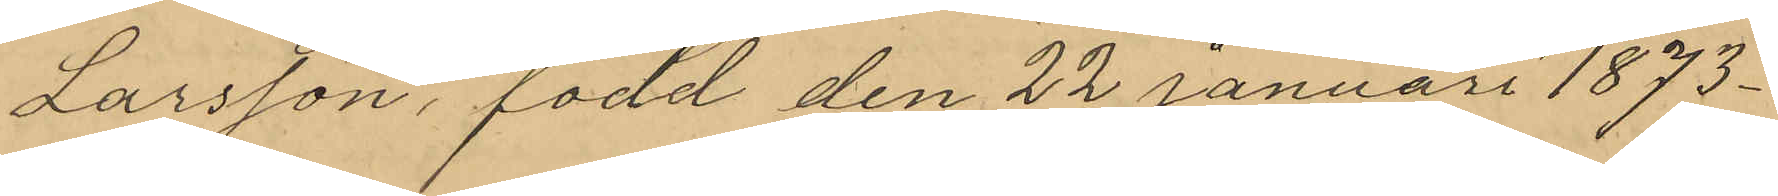Larsson, född den 22 Januari 1873
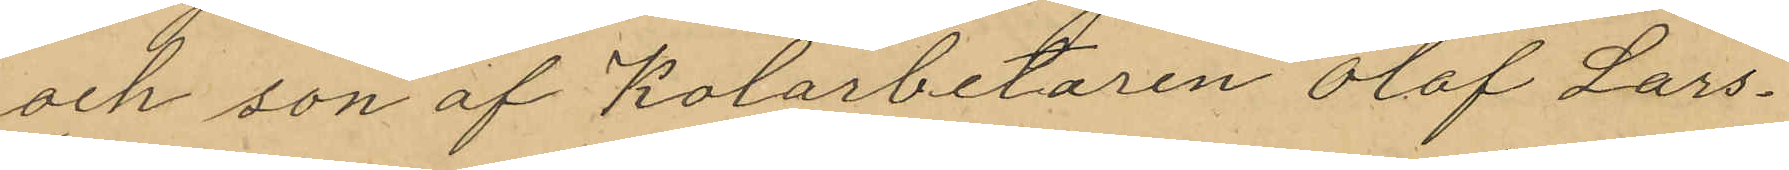och son af Kolarbetaren Olof Lars¬
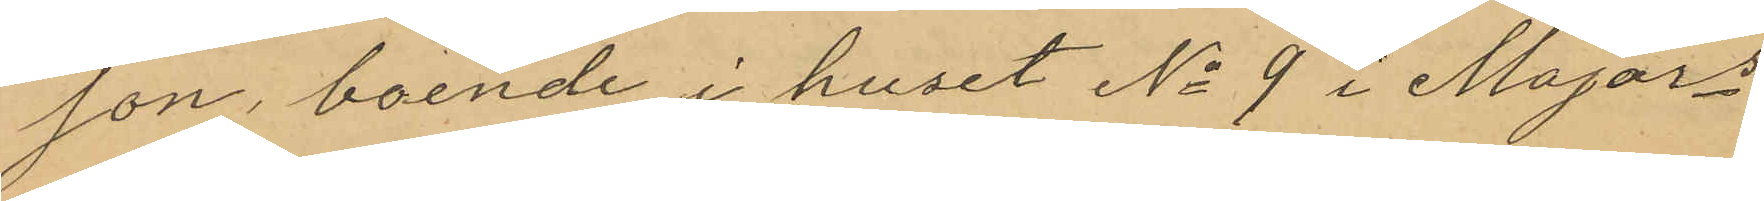son, boende i huset No 9 i Majors
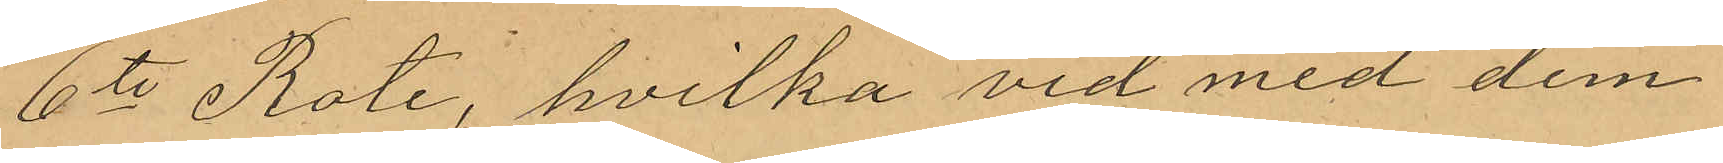6te Rote, hvilka vid med dem
